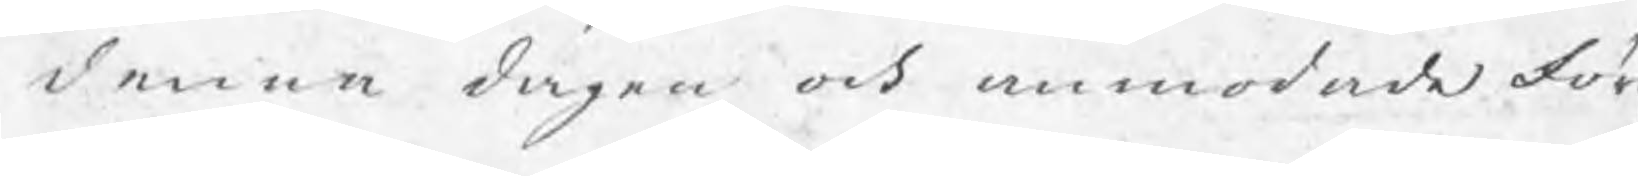denna dagen och anmodade för
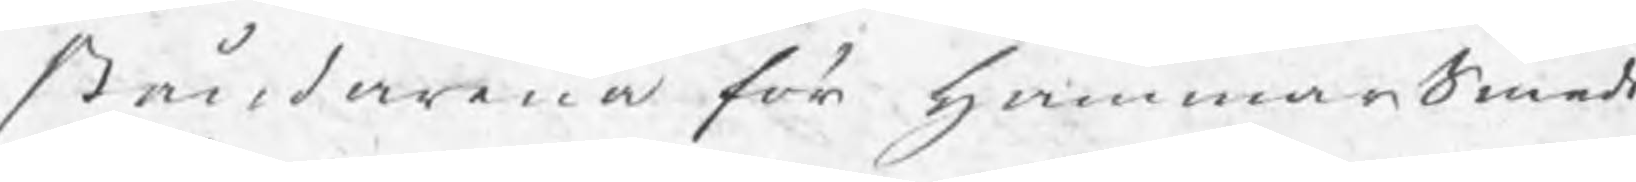ståndarna för HammarSmeds
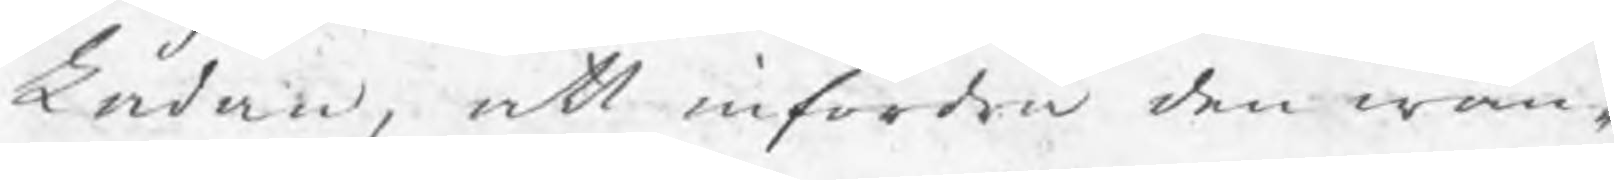Lådan, att infordra den wan¬
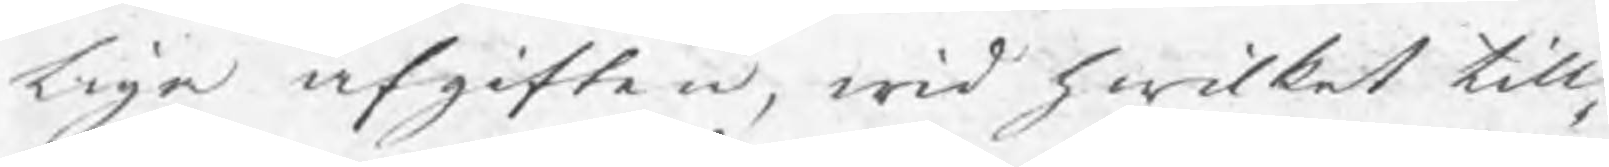liga afgiften, wid hwilket till¬
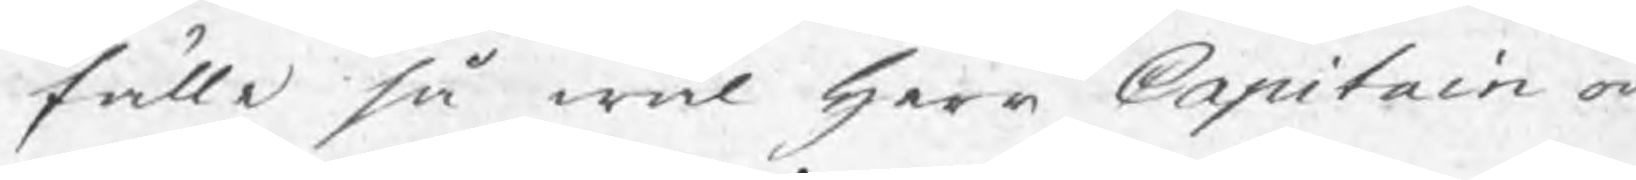fälle så wäl Herr Capitain och
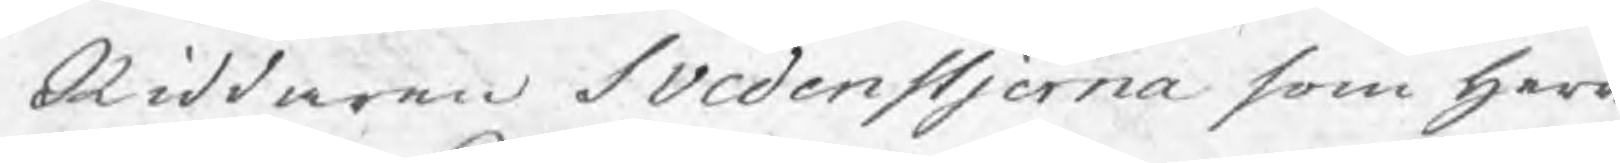Riddaren Svedenstjerna som Herr
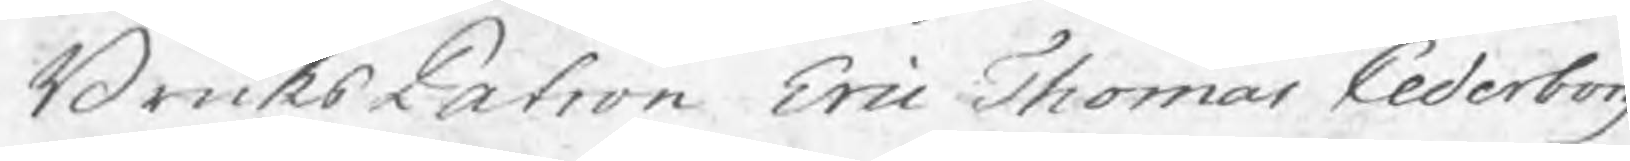BruksPatron Eric Thomas Cederborg
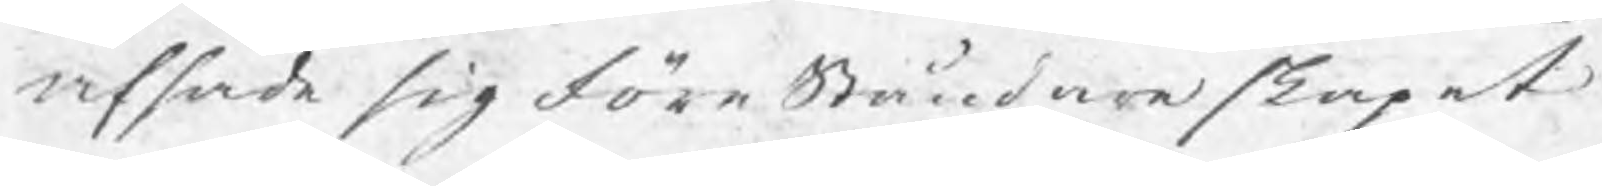afsade sig föreståndareskapet
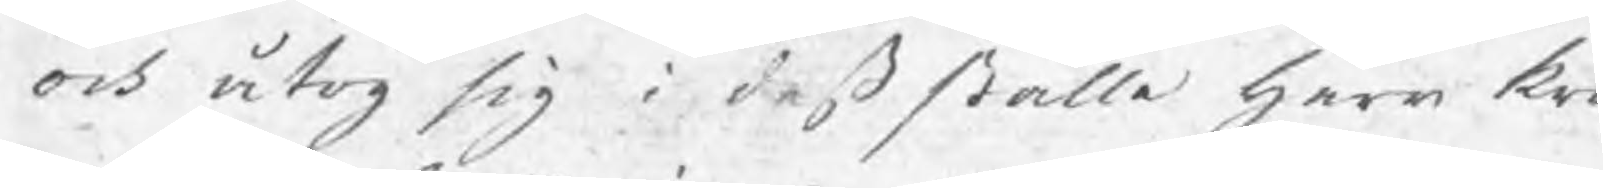och åtog sig i deß ställe Herr kro¬
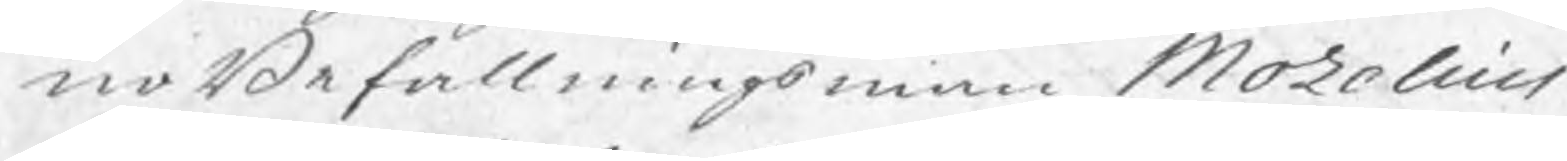noBefallningsman Mozelius
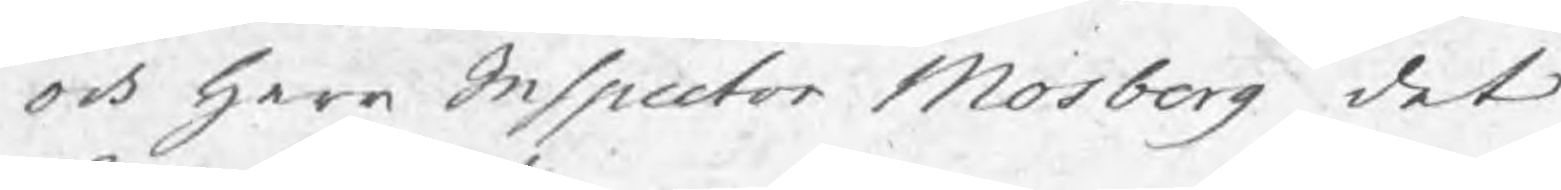och Herr Inspector Mosberg det
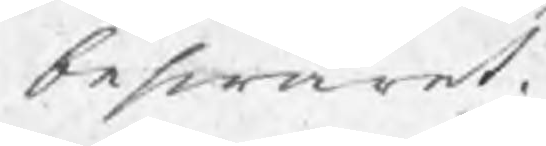beswäret.
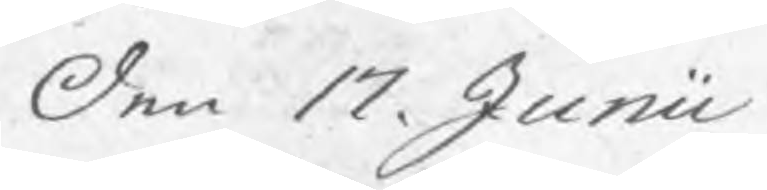Den 17 Junii
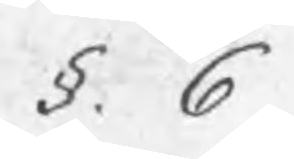§: 6
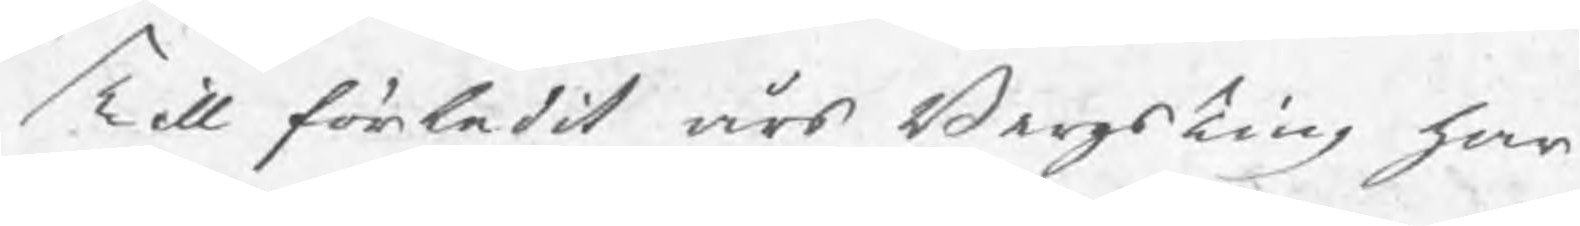Till förledit års BergsTing har
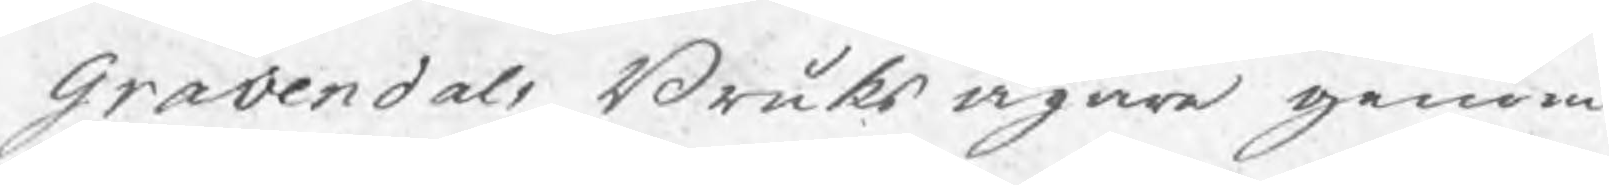Gravendals Bruks ägare genom
